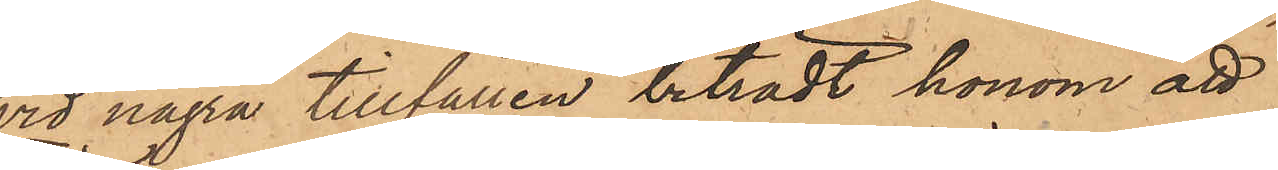vid några tillfällen biträdt honom att
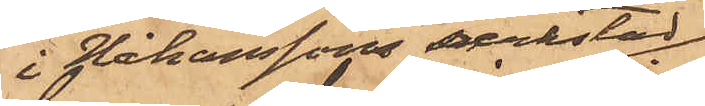i Håkanssons verkstad
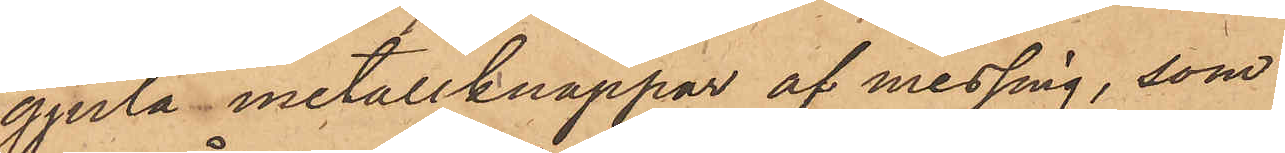gjuta metallknappar af messing, som
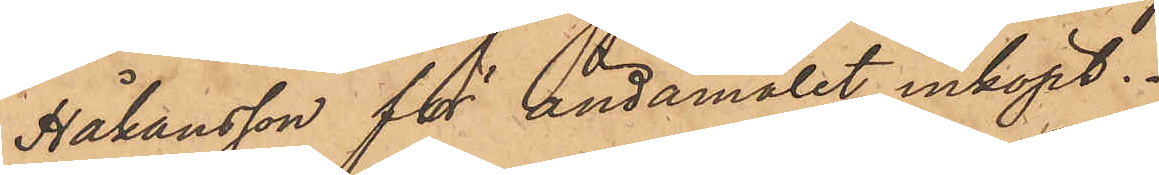Håkansson för ändamålet inköpt.
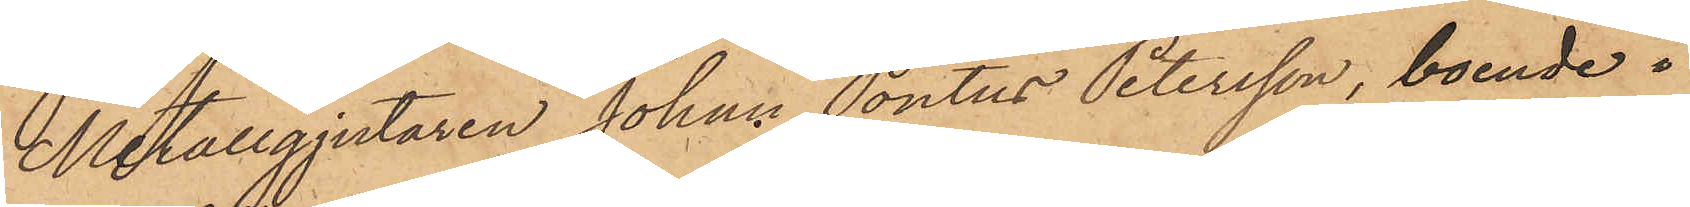Metallgjutaren Johan Pontus Petersson, boende i
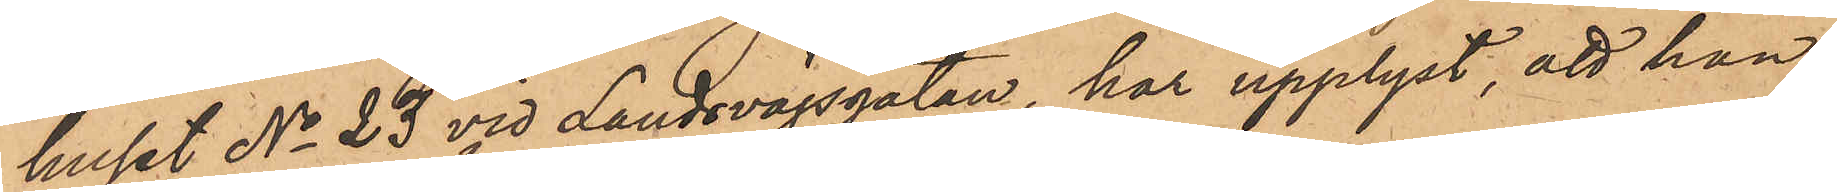huset No 23 vid Landsvägsgatan, har upplyst, att han,
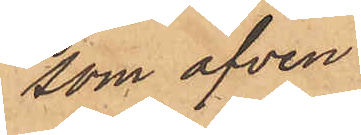som äfven
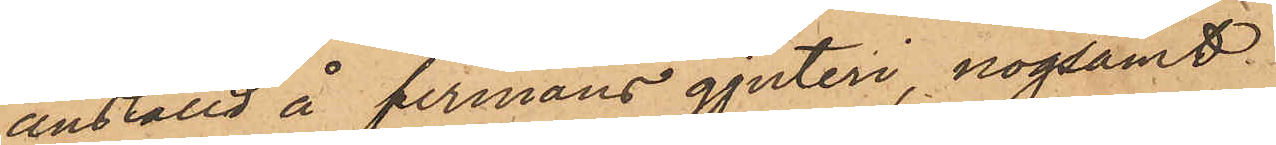anställd å firmans gjuteri, nogsamt
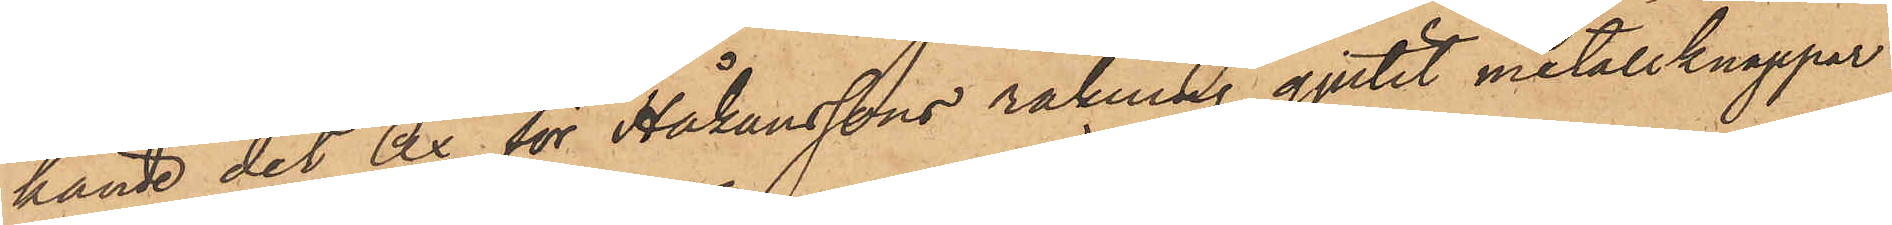kände det Ax för Håkanssons räkning gjutit metallknappar
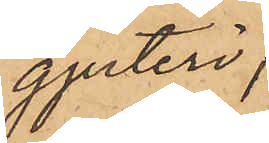å målsegandefirmans gjuteri,
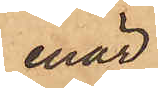enär
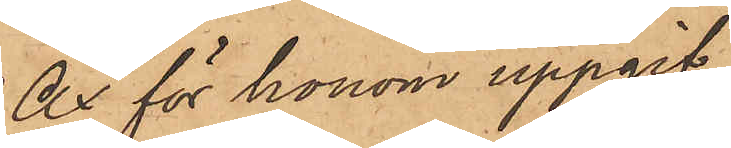Ax för honom uppgif¬
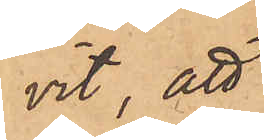vit, att
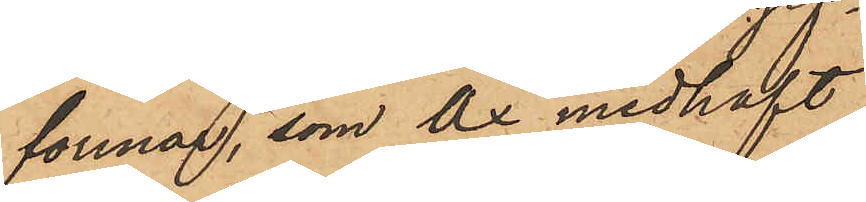formar, som Ax medhaft
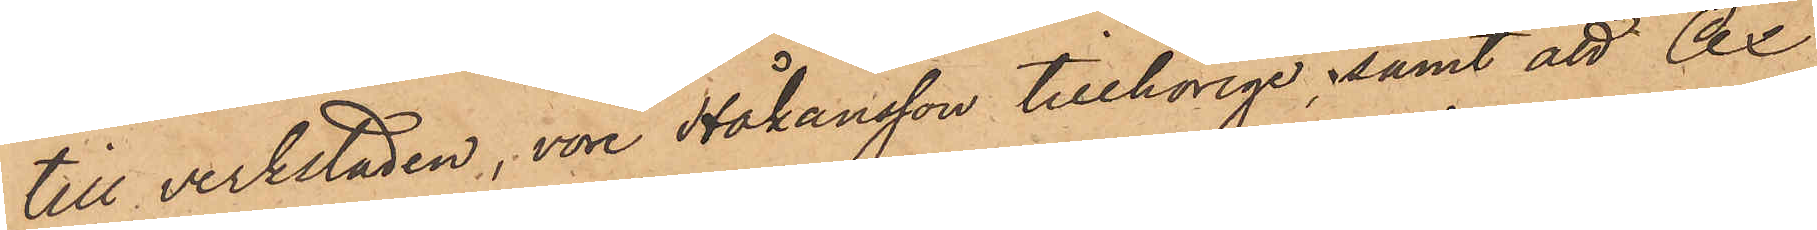till verkstaden, vore Håkansson tillhörige samt att Ax
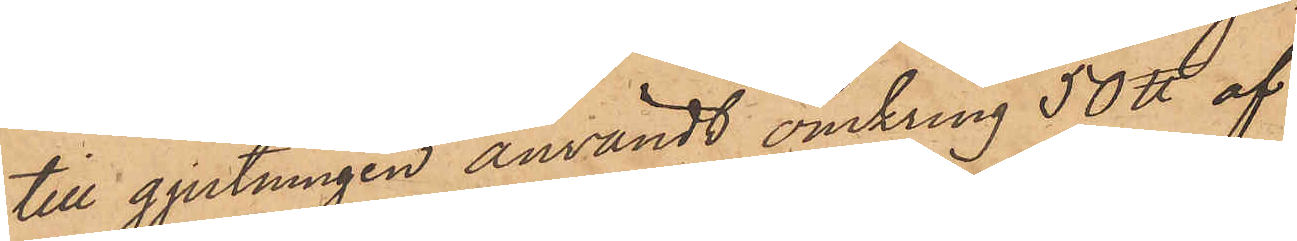till gjutningen användt omkring 50 ℔ af
